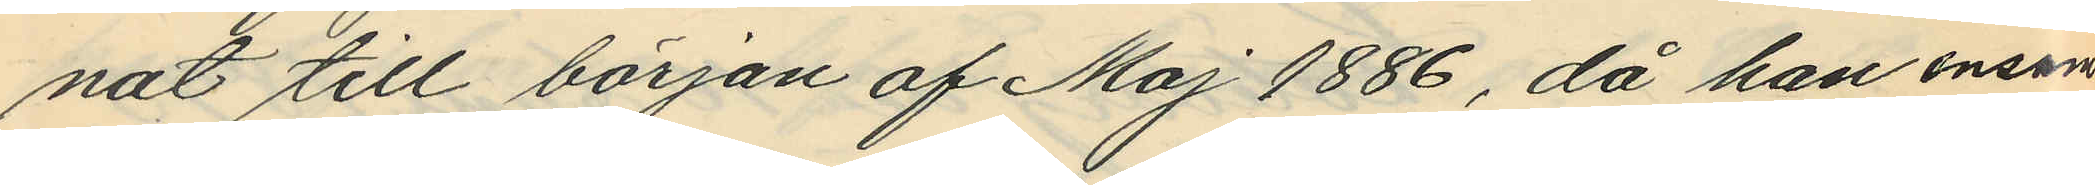nat till början af Maj 1886, då han ensam
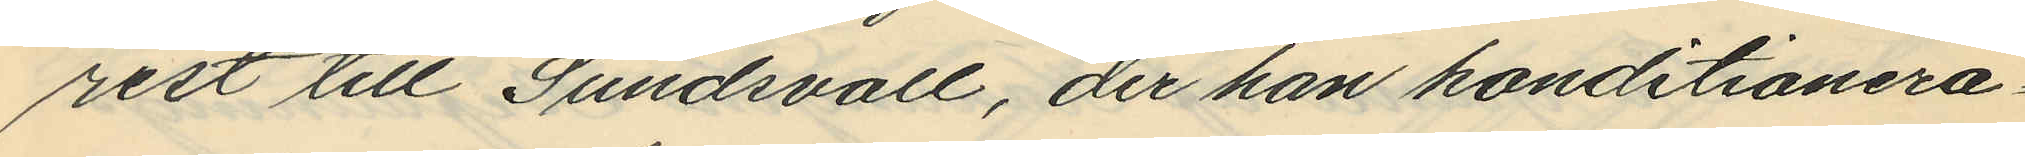rest till Sundsvall, der han konditionera¬
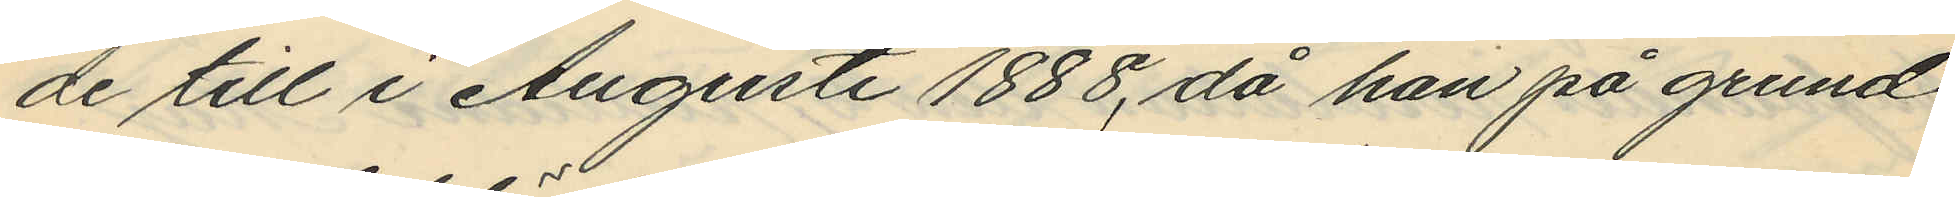de till i Augusti 1888, då han på grund
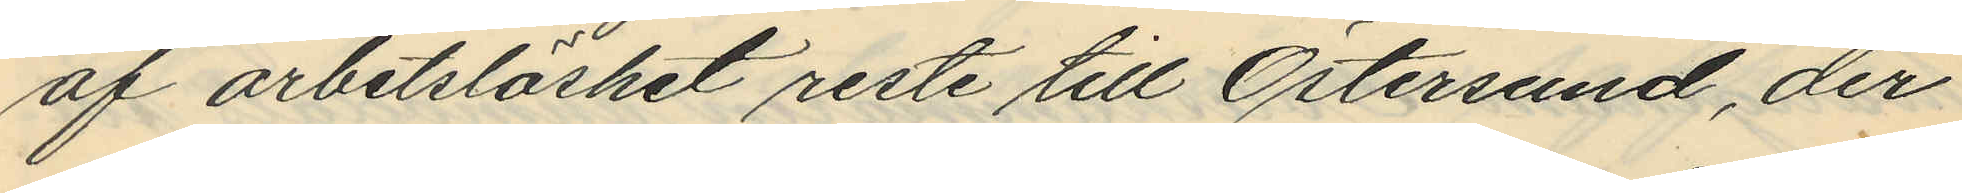af arbetslöshet reste till Östersund, der
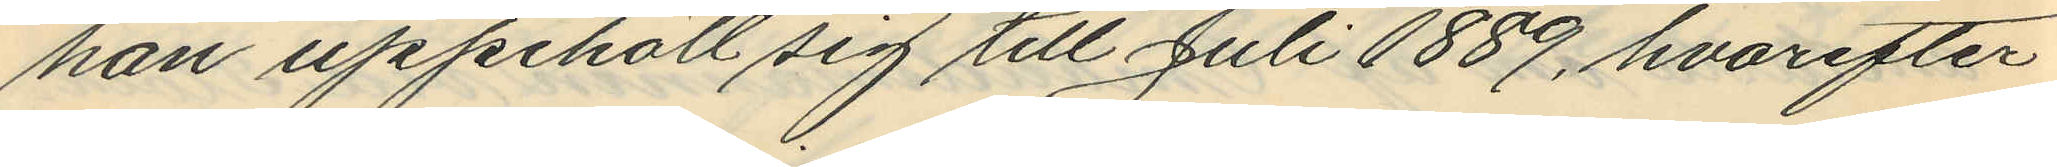han uppehöll sig till Juli 1889, hvarefter
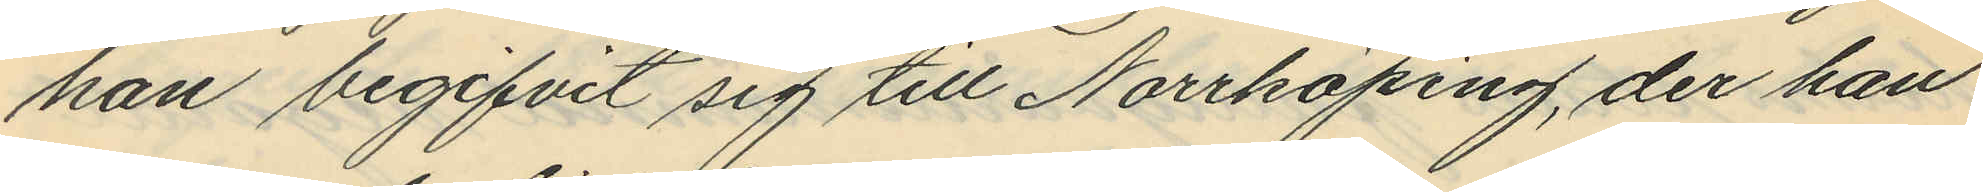han begifvit sig till Norrköping, der han
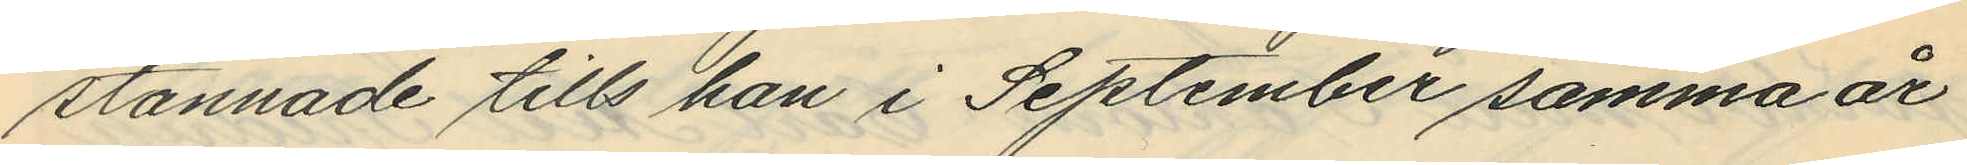stannade tills han i September samma år
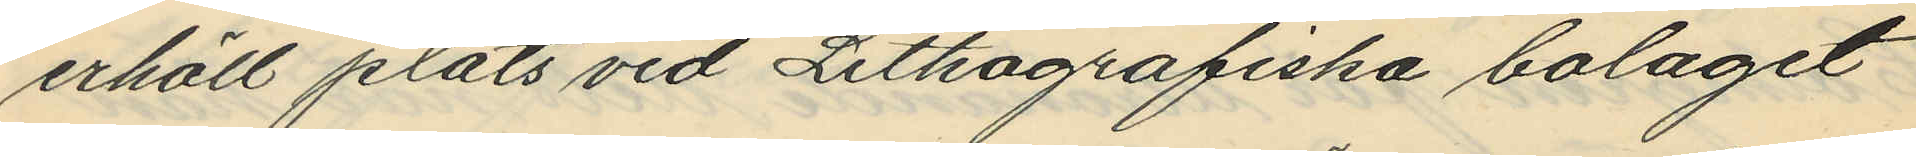erhöll plats vid Lithografiska bolaget
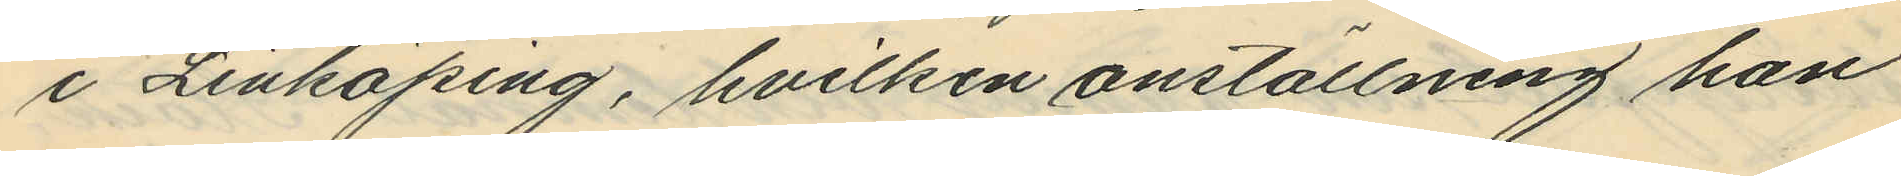i Linköping, hvilken anställning han
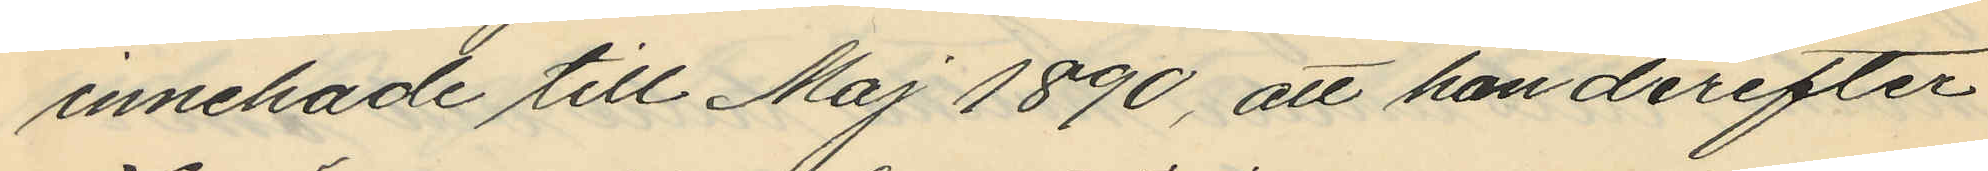innehade till Maj 1890, att han derefter
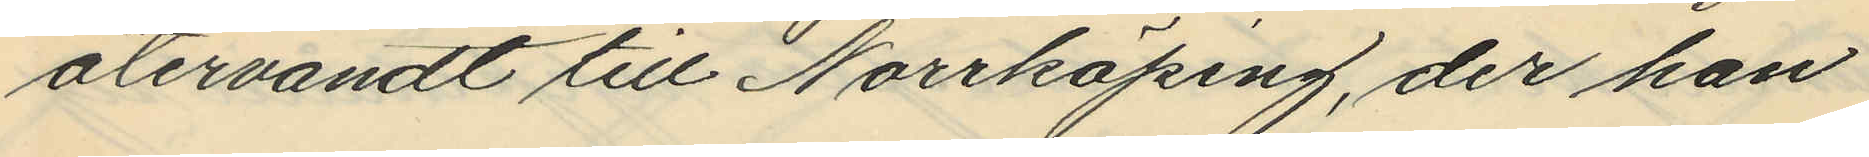återvändt till Norrköping, der han
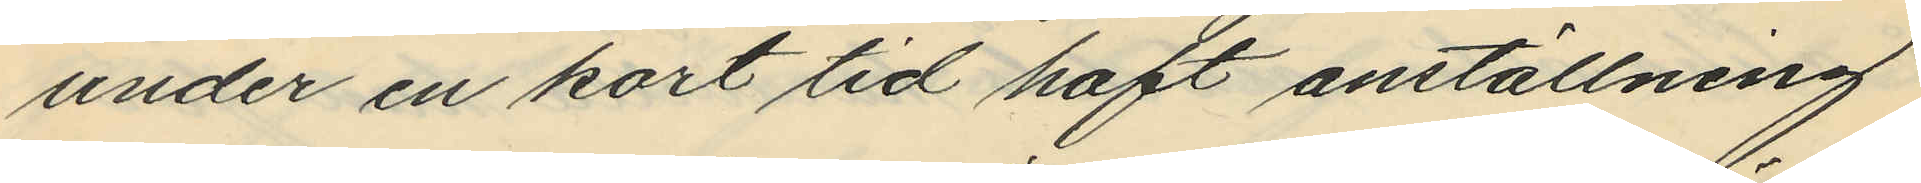under en kort tid haft anställning
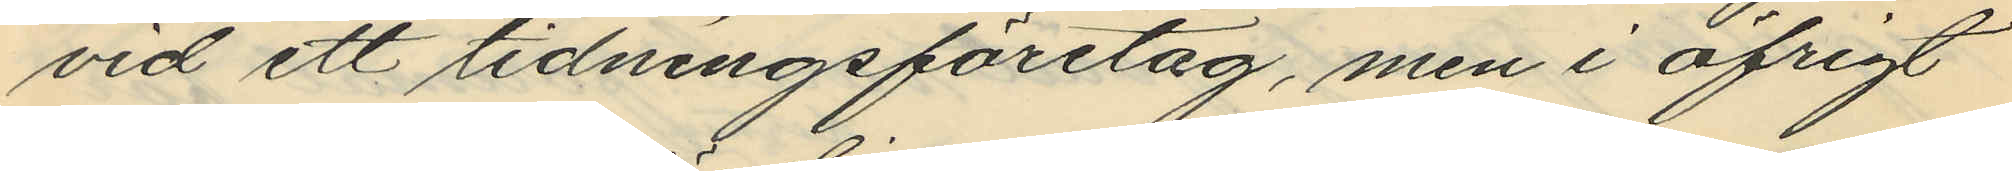vid ett tidningsföretag, men i öfrigt
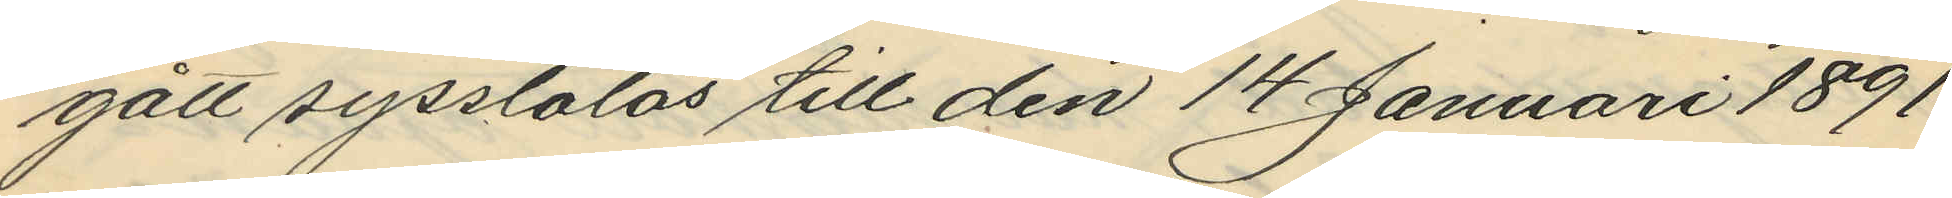gått syssolös till den 14 Januari 1891
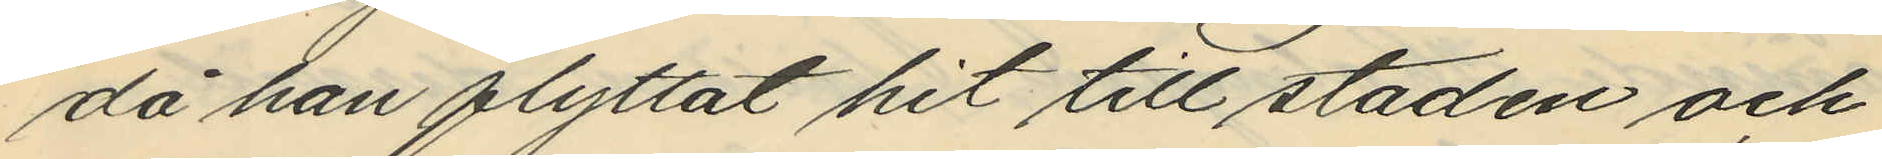då han flyttat hit till staden och
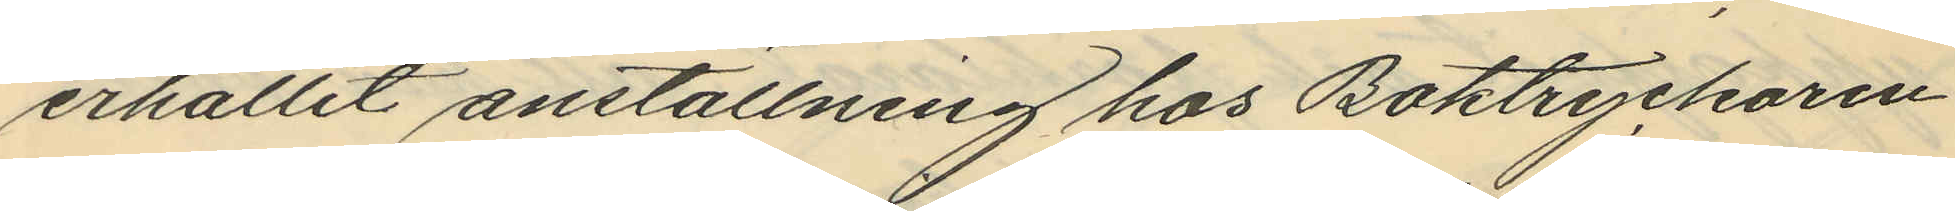erhållit anställning hos Boktryckaren
